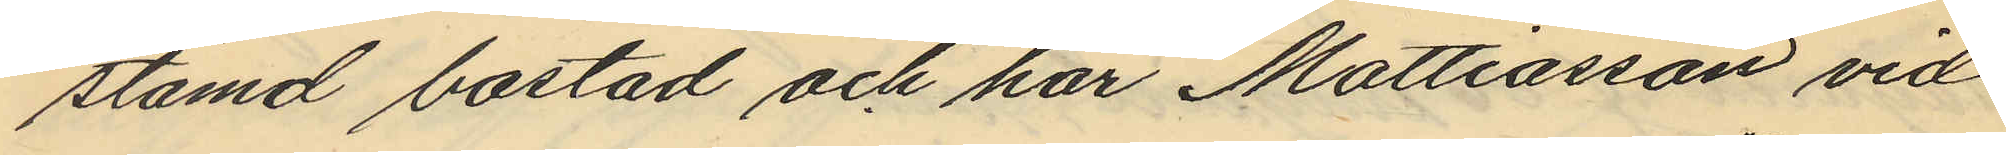stämd bostad och har Mattiasson vid
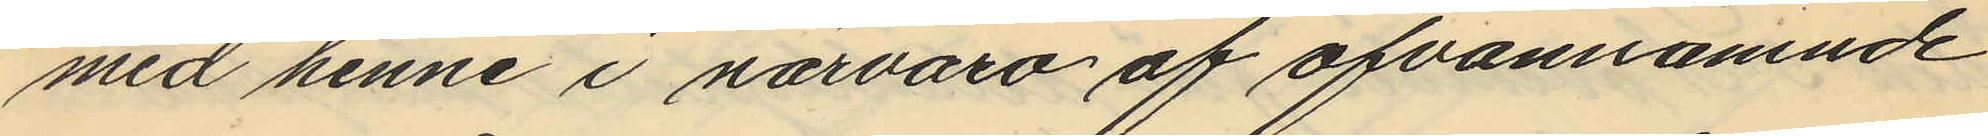med henne i närvaro af ofvannämnde
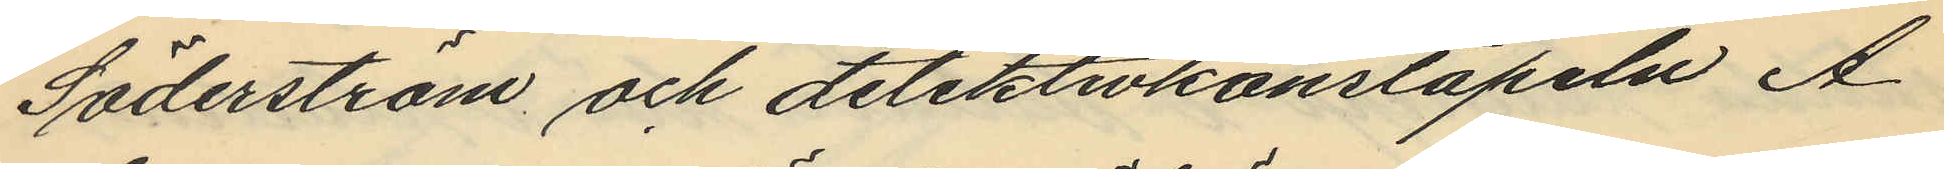Söderström och detektivkonstapeln A.
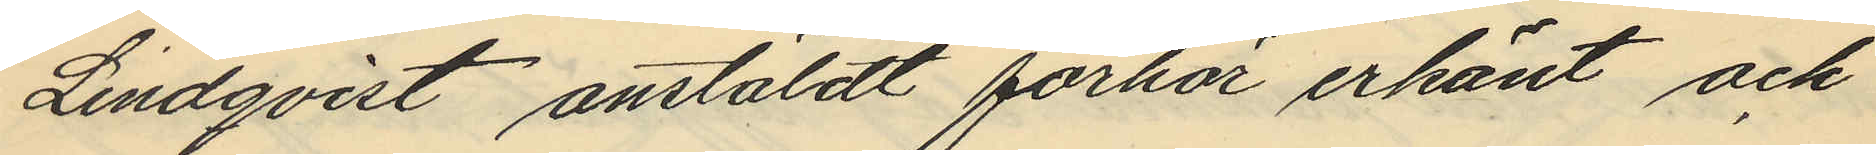Lindqvist anstäldt förhör erkänt och
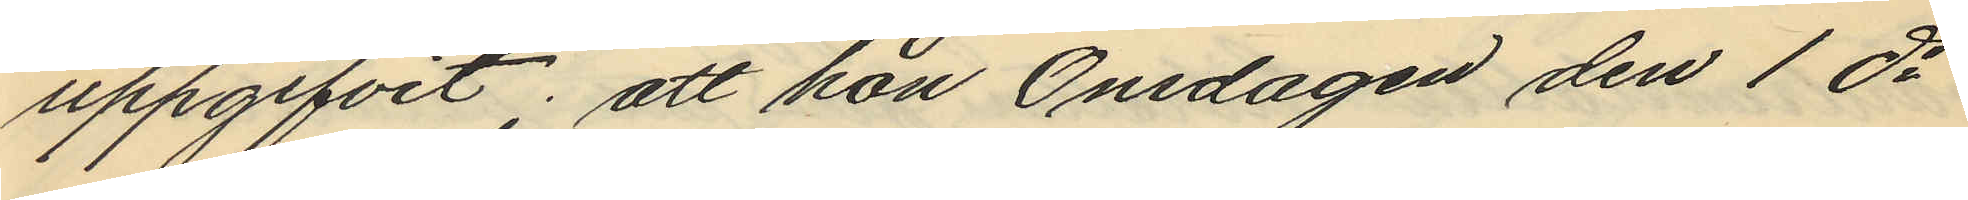uppgifvit; att hon Onsdagen den 1 ds
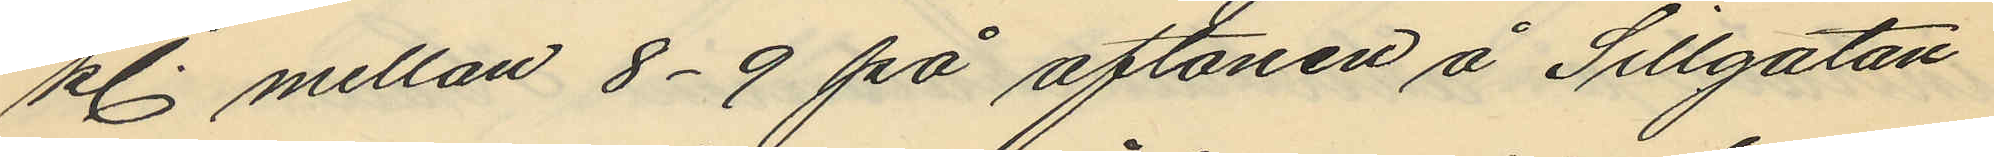kl. mellan 8-9 på aftonen å Sillgatan
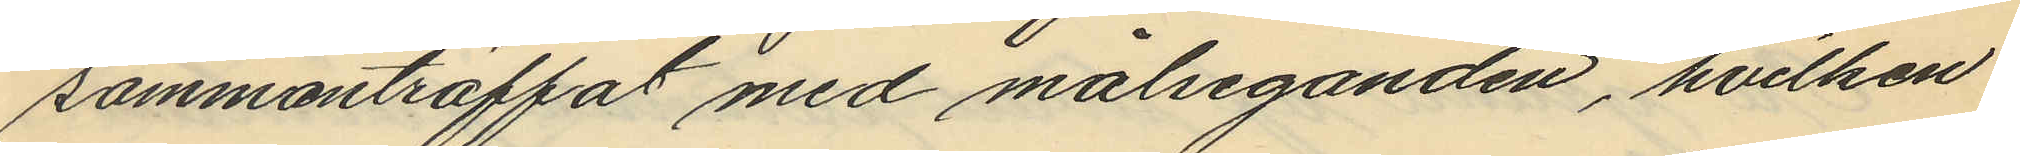sammanträffat med målseganden, hvilken
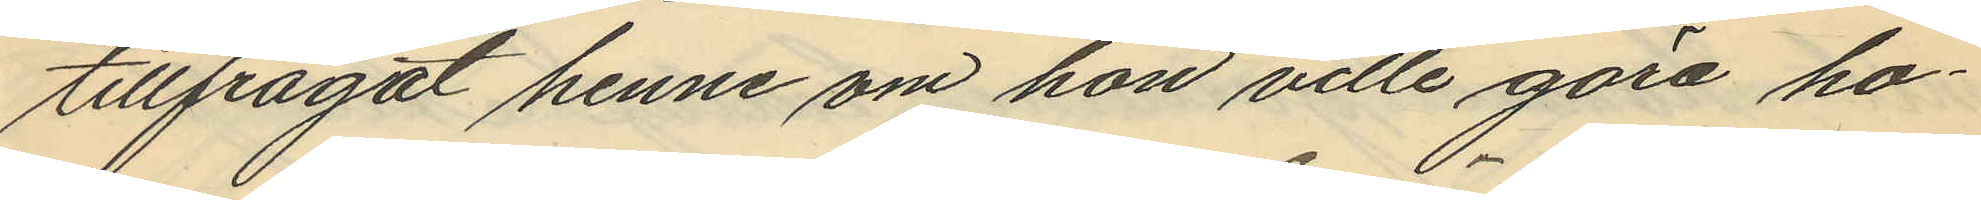tillfrågat henne om hon ville göra ho¬
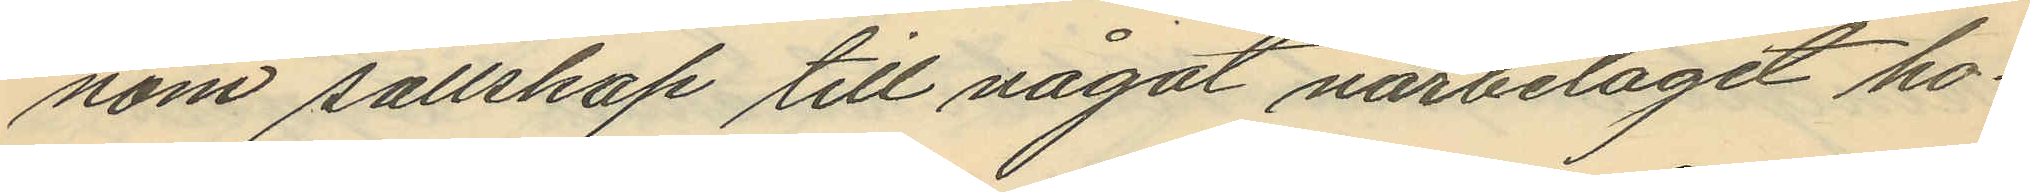nom sällskap till något närbeläget ho¬
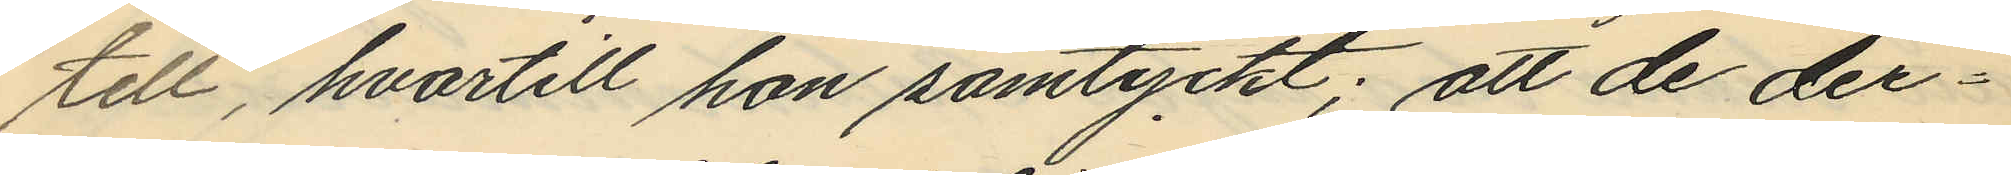till, hvartill hon samtyckt; att de der¬
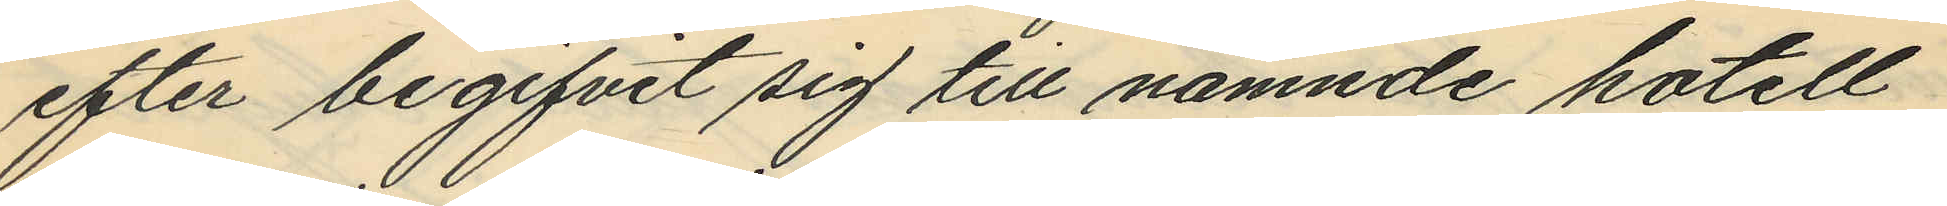efter begifvit sig till nämnde hotell
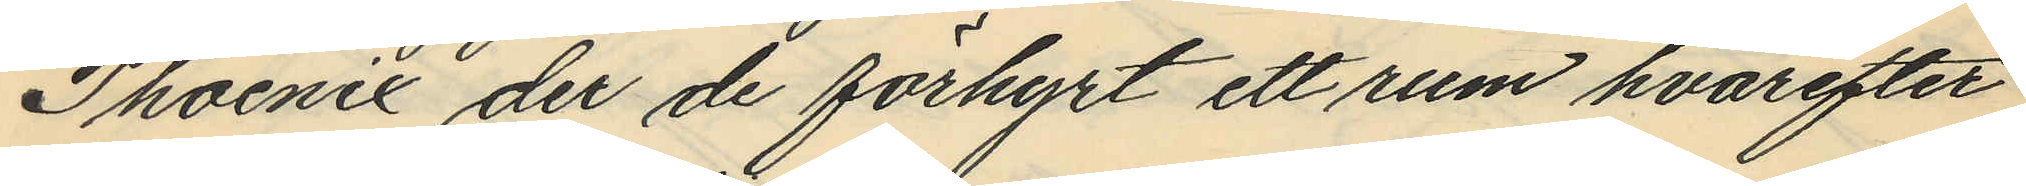Phoenix der de förhyrt ett rum hvarefter
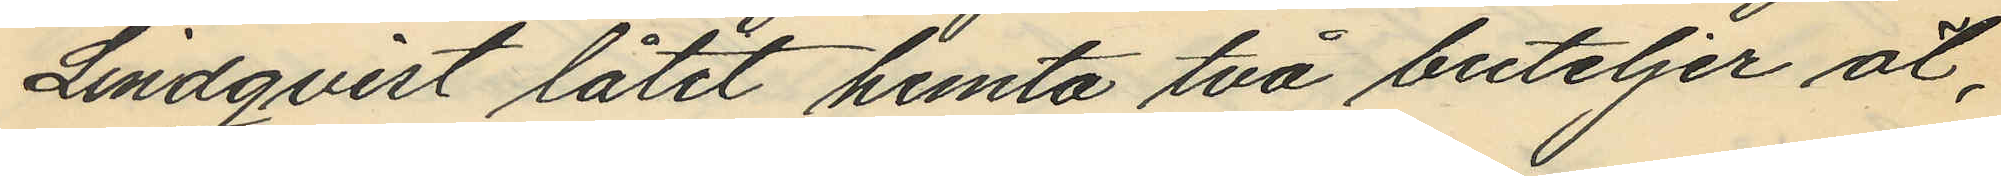Lindqvist låtit hemta två buteljer öl,
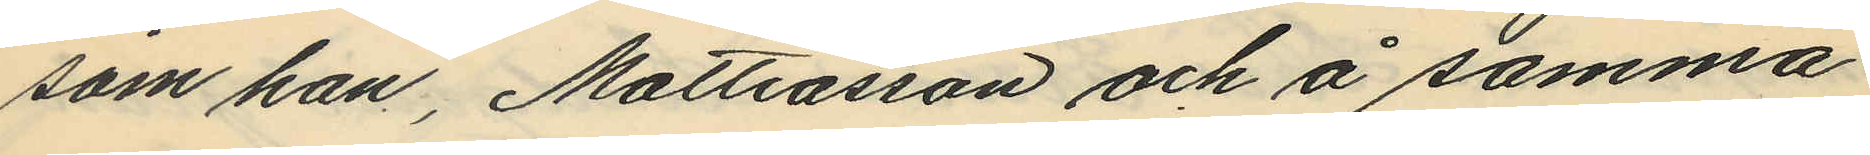som han, Mattiasson och å samma
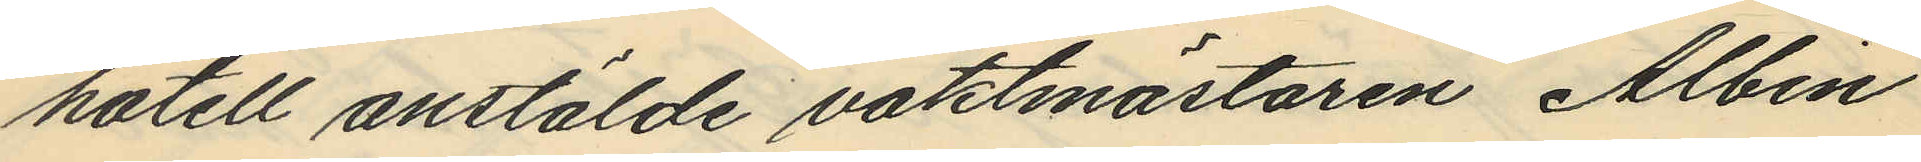hotell anstälde vaktmästaren Albin
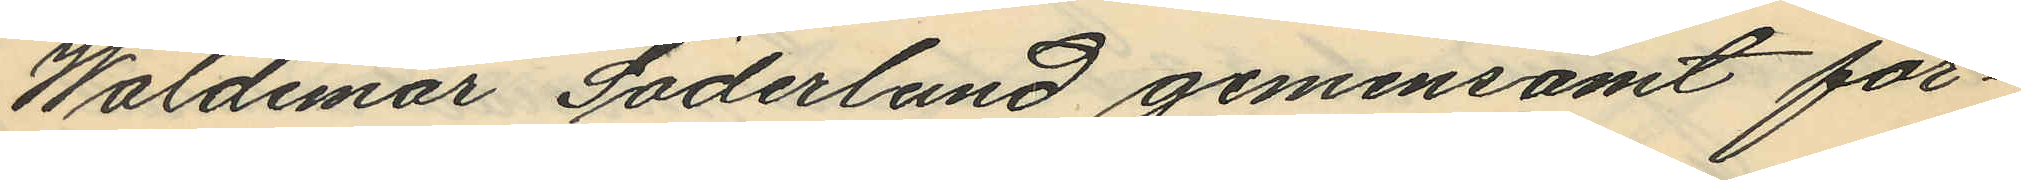Waldemar Söderlund gemensamt för¬
